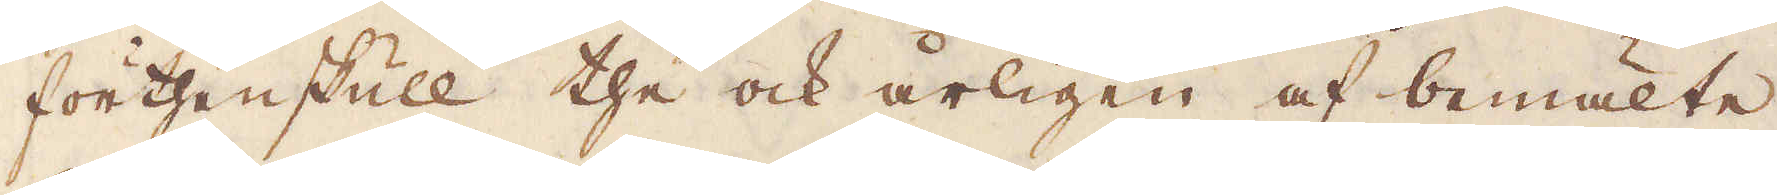förthenskull the och årligen af bemälte
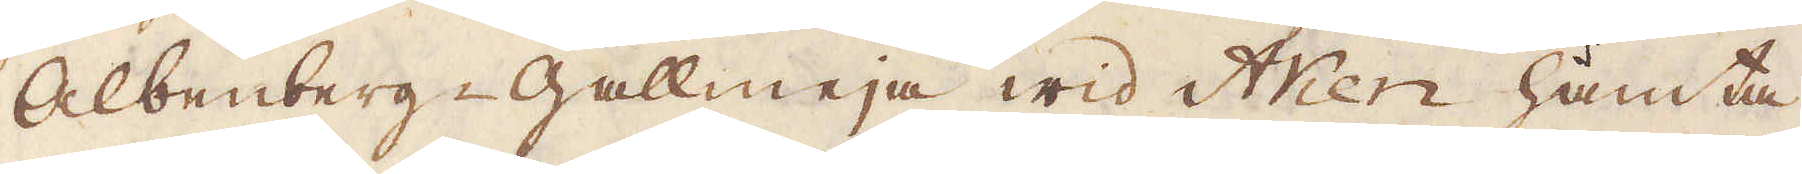Albenberg-Gallmeja wid Wien hämta
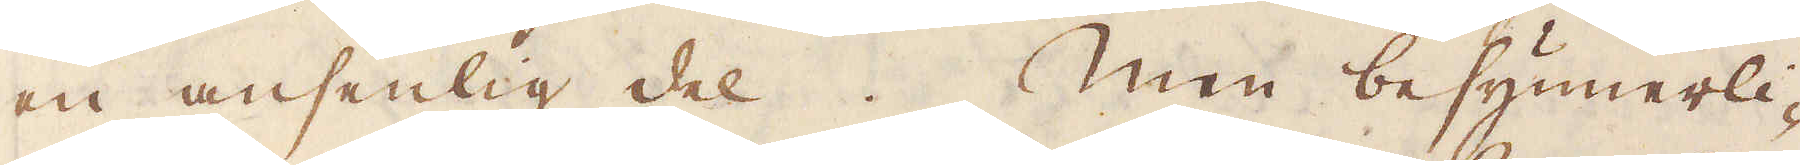en ansenlig del. Men besynnerli-
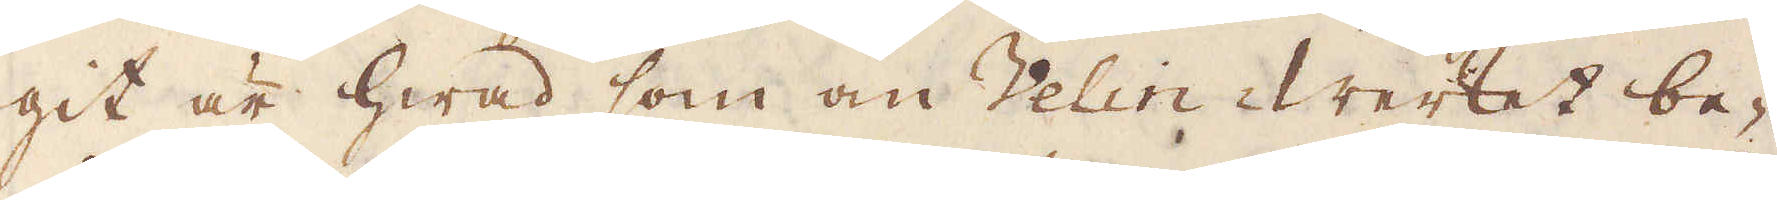git är hwad som om Velin Werket be-
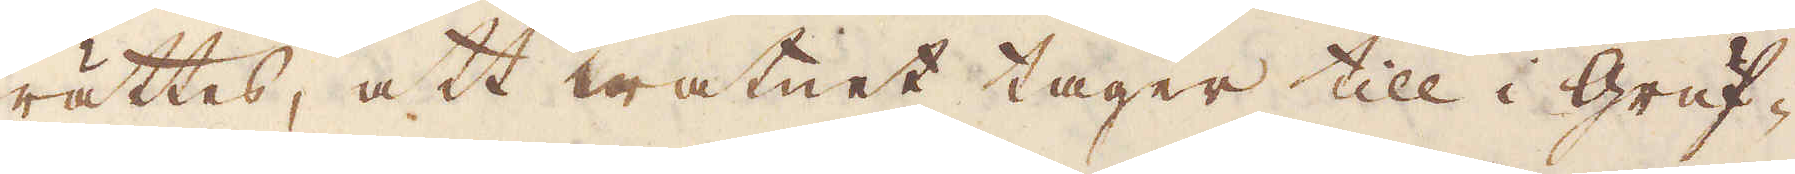rättes, att watnet tager till i Gruf-
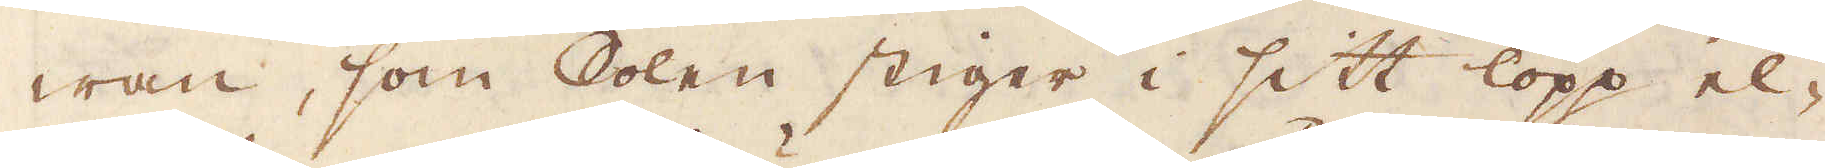wan, som Solen stiger i sitt lopp el,
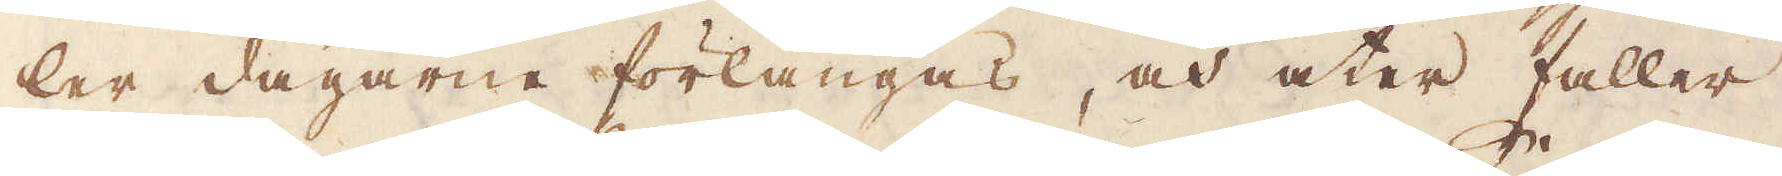ler dagarne förlängas, och åter faller
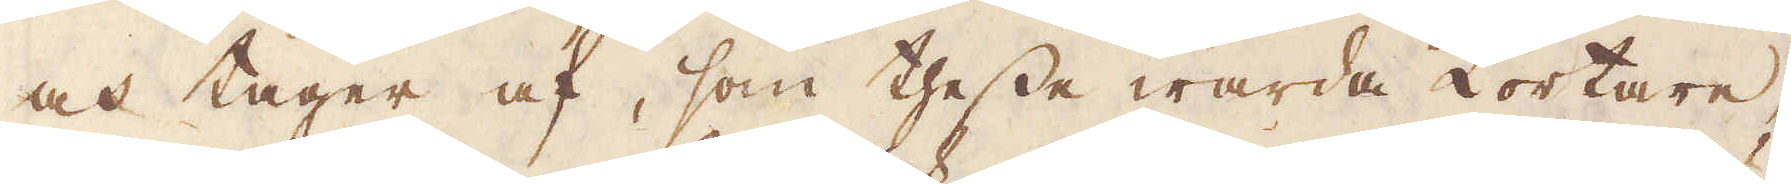och tager af, som thesse warda kortare,
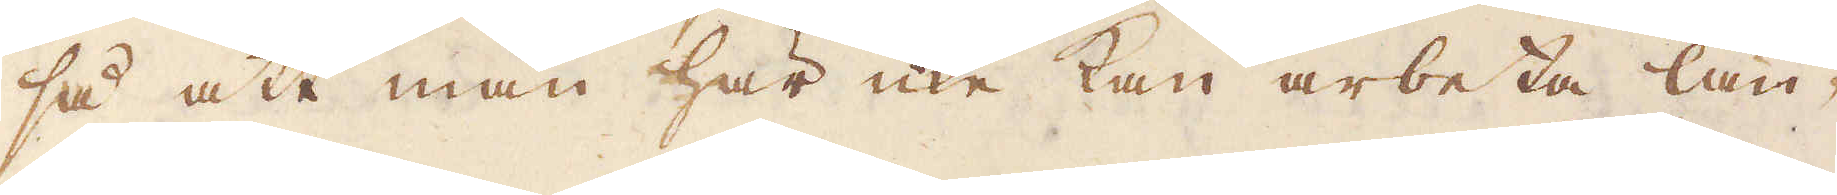så att man här icke kan arbeta län-
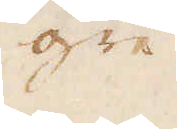gre
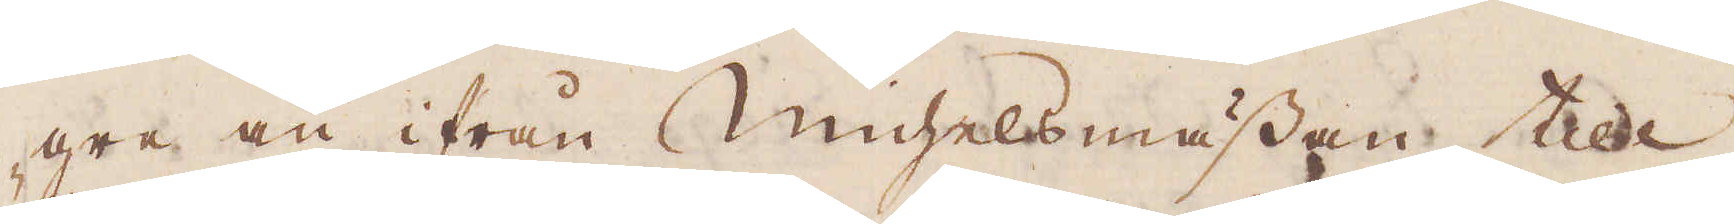gre än ifrån Michelsmässan till
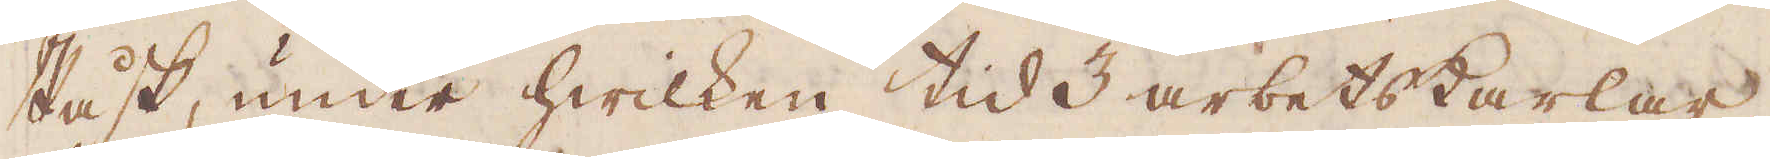Påsk, under hwilken tid 3 arbetskarlar, 
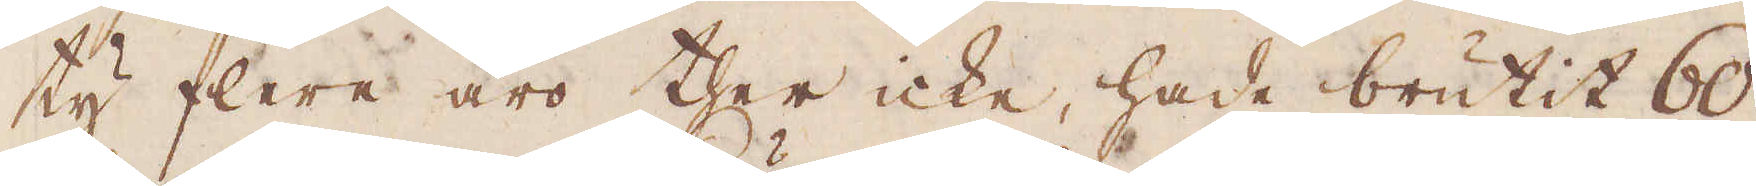ty flera äro ther icke, hade brutit 60
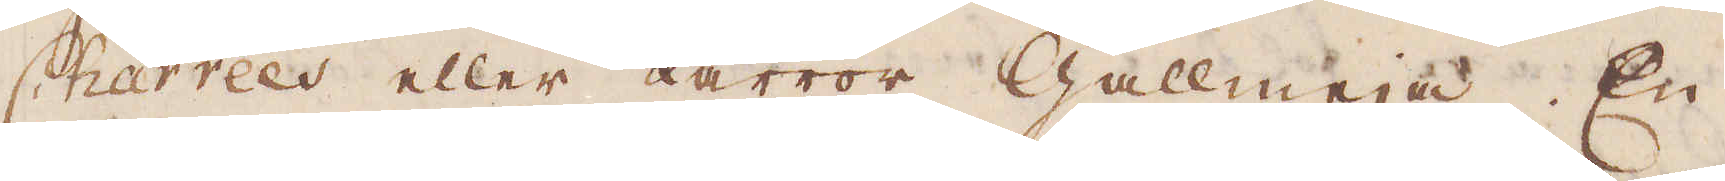Charrées eller kärror Gallmeja. En
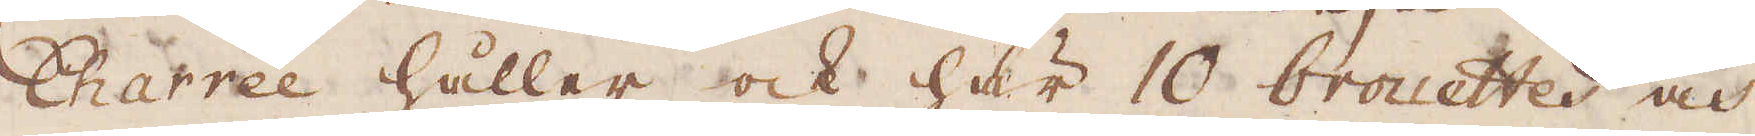Charrée håller ock här 10 brouetter och
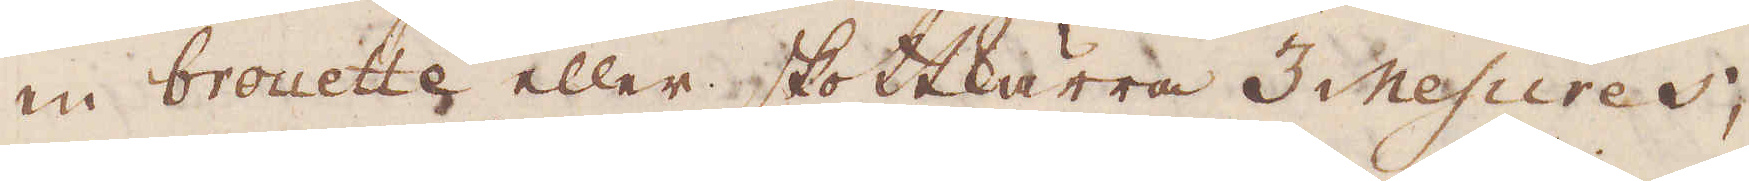en brouette eller skottkärra 3 Mesures,
